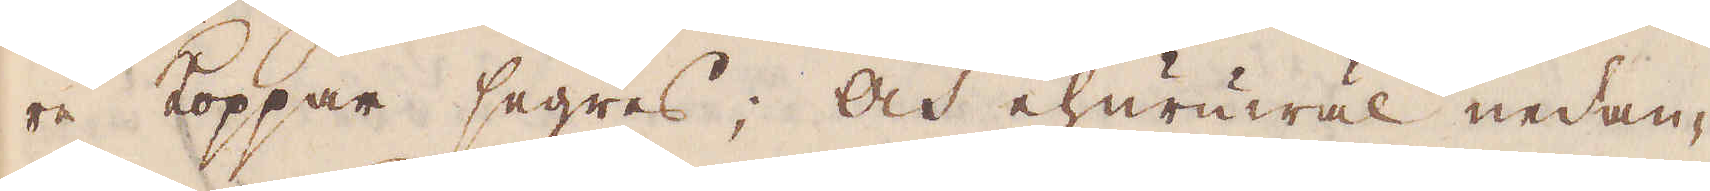re Koppar segras; Och ehuruwäl nedan-
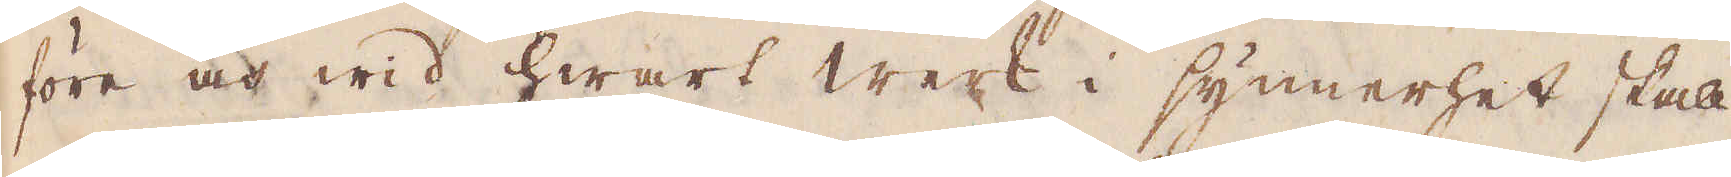före och wid hwart werk i synnerhet skall
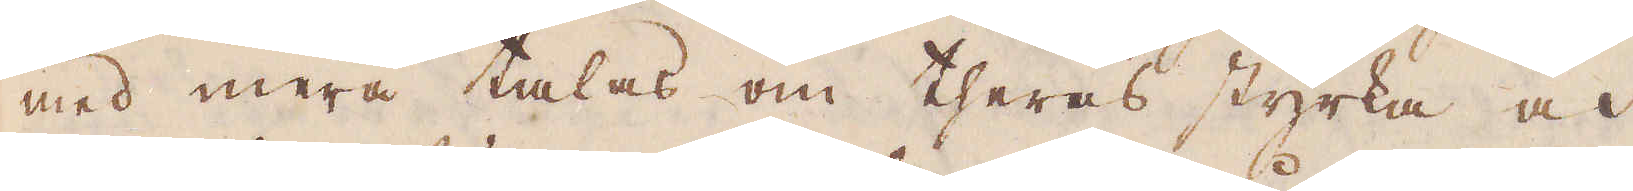med mera talas om theras styrka och
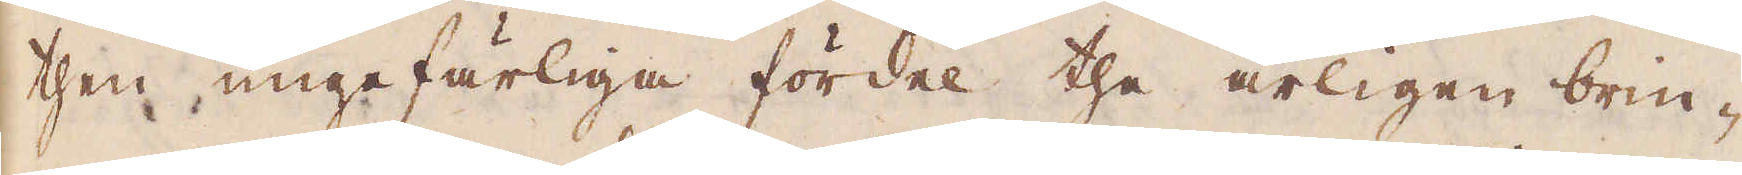then ungefärliga fördel the årligen brin-
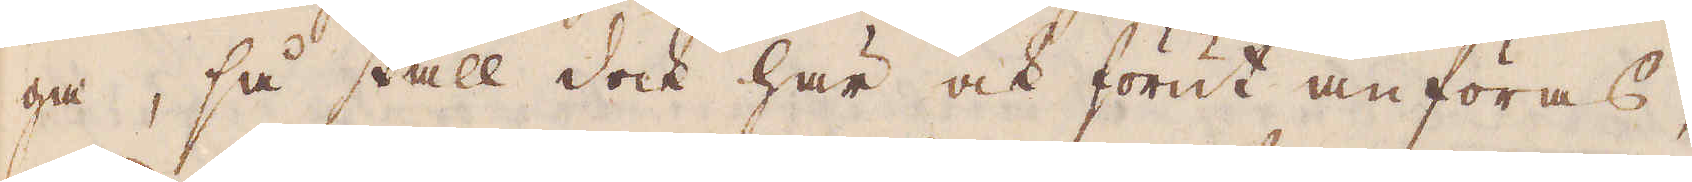ga, så skall dock här ock förut anföras,
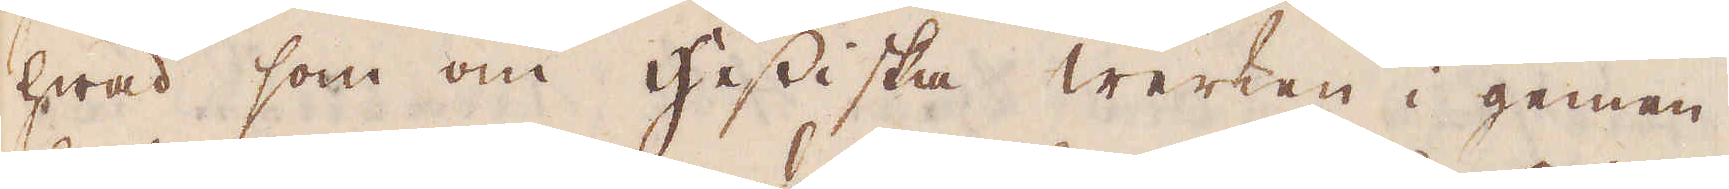hwad som om Hessiska Werken i gemen,
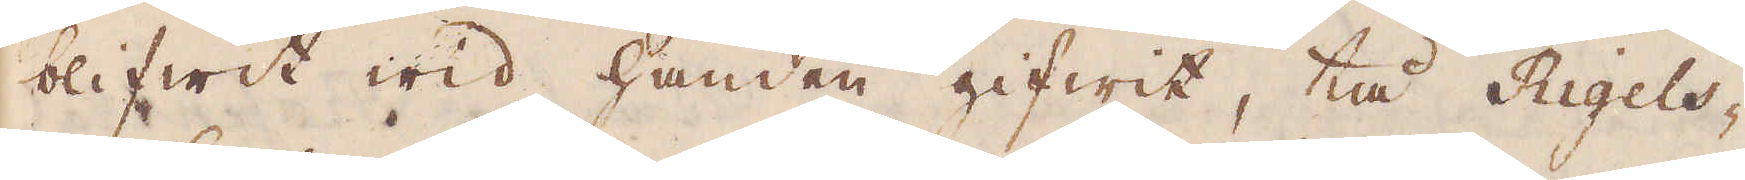blifwit wid handen gifwit, tå Rigels-
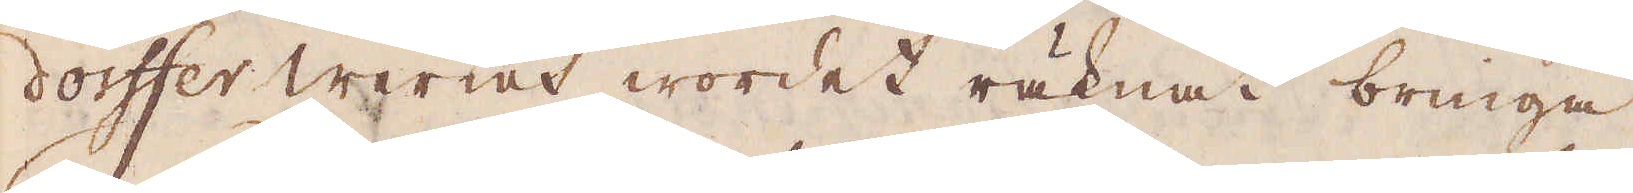dorffer Werket wordet räknat bringa
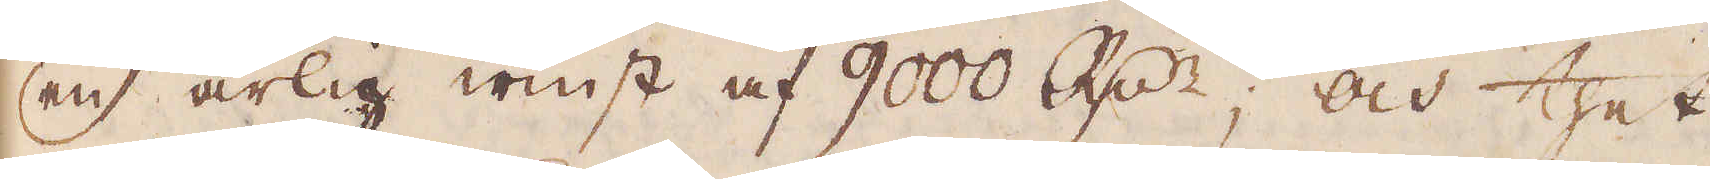en årlig winst af 9000 R:dr; och thet
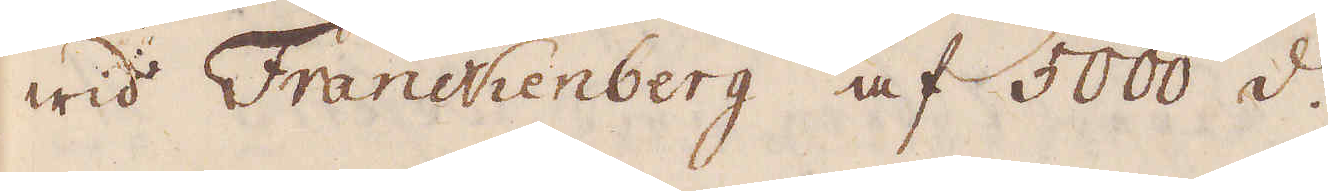wid Franckenberg af 5000 d:o.
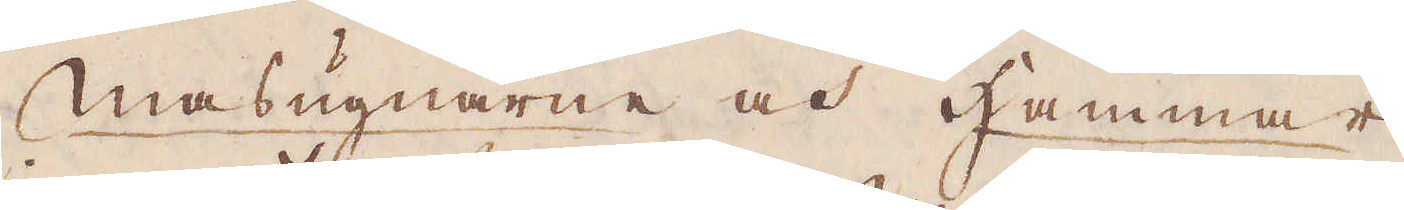Masugnarne och Hammar-
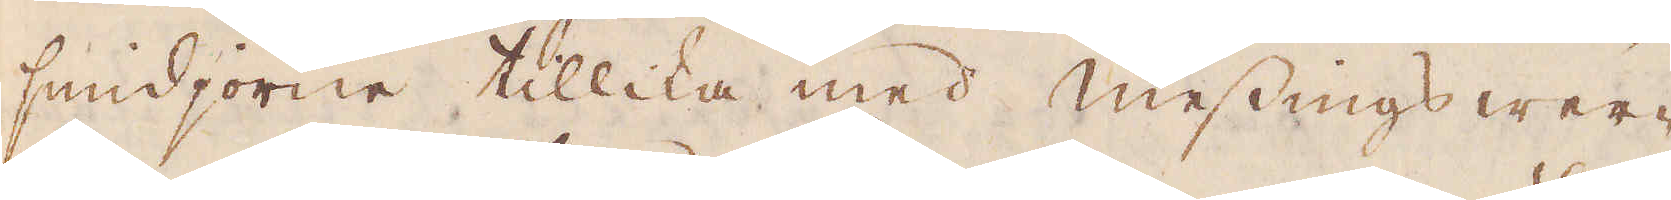smidjorne tillika med Messingswer-
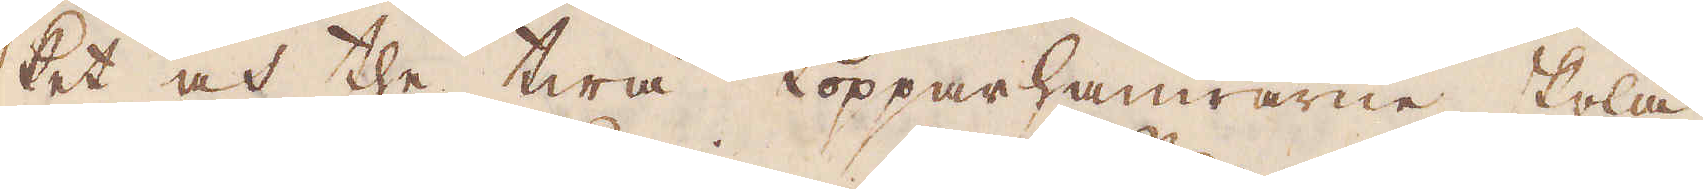ket och the twå Kopparhamrarne skola
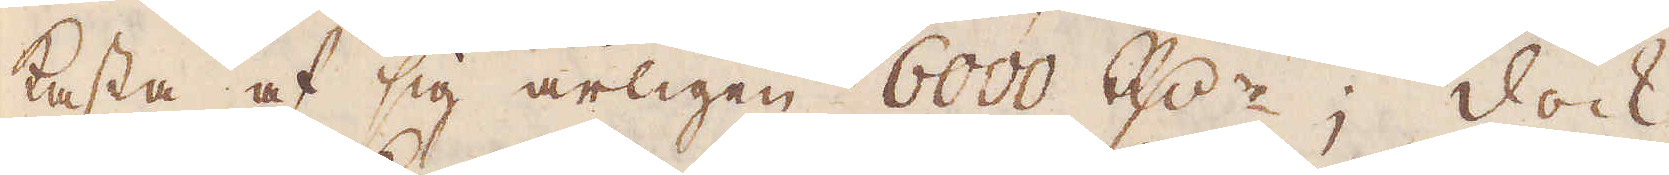kasta af sig årligen 6000 R:dr; Dock
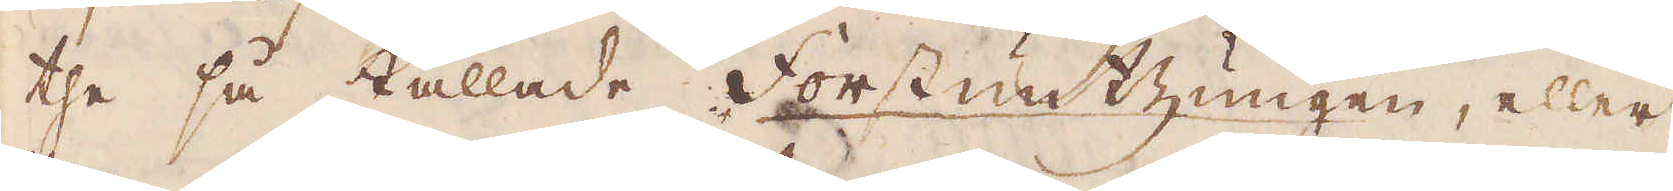the så kallade Forstuntzungen, eller
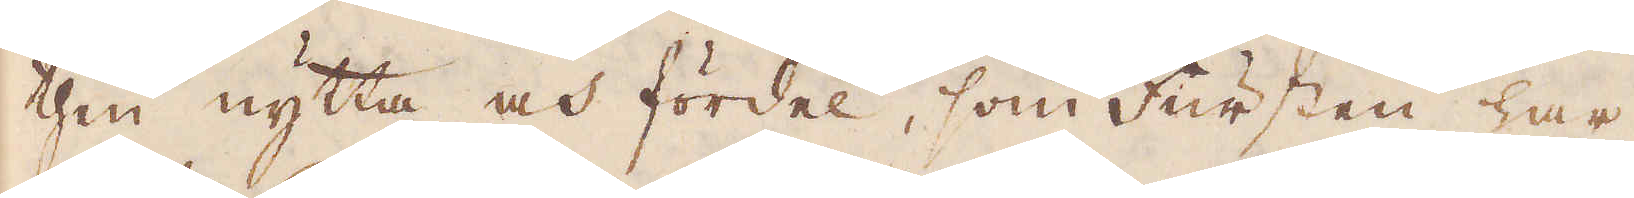then nytta och fördel, som Fursten har
